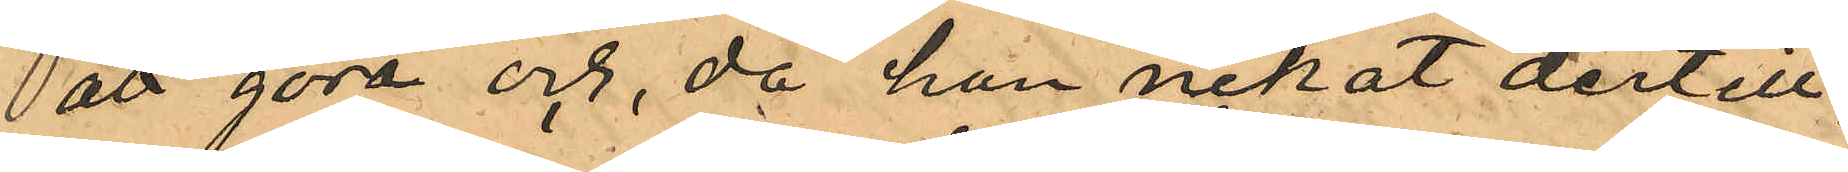att göra och, då han nekat dertill,
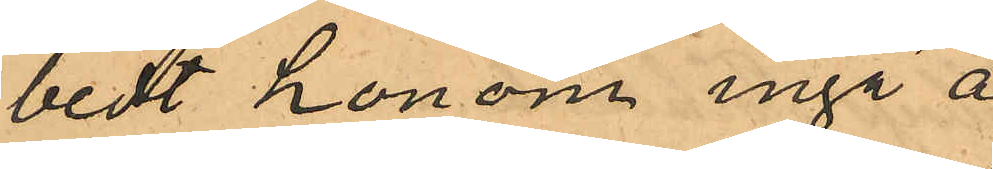bedt honom ingå å
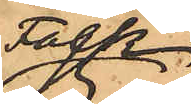Folk¬
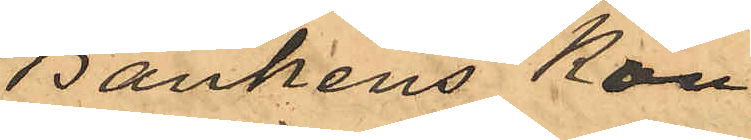Bankens Kon¬
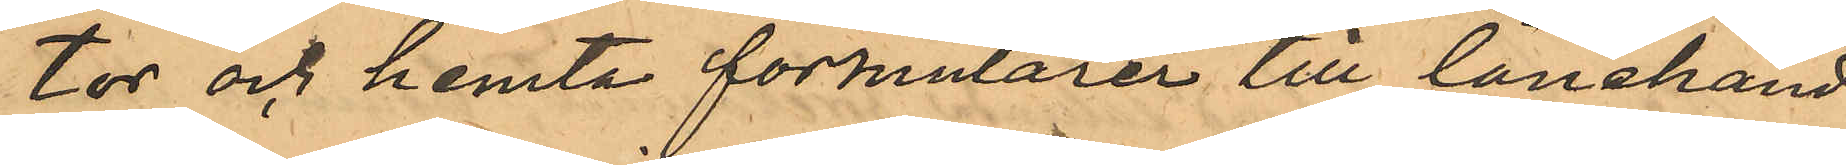tor och hemta formulärer till lånehand¬
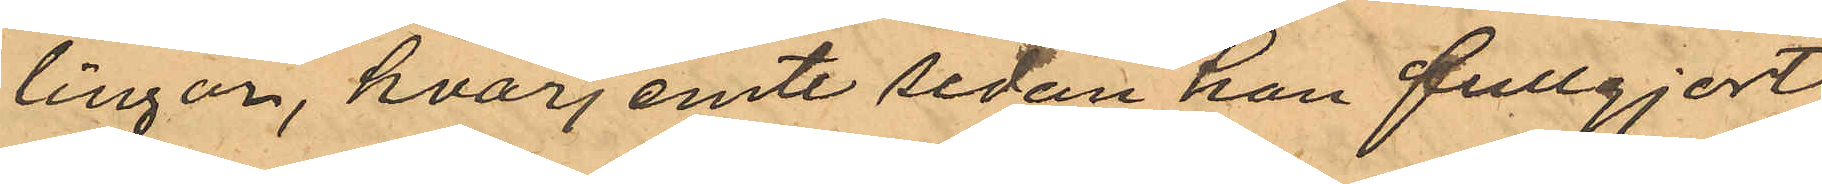lingar, hvarjemte sedan han fullgjort
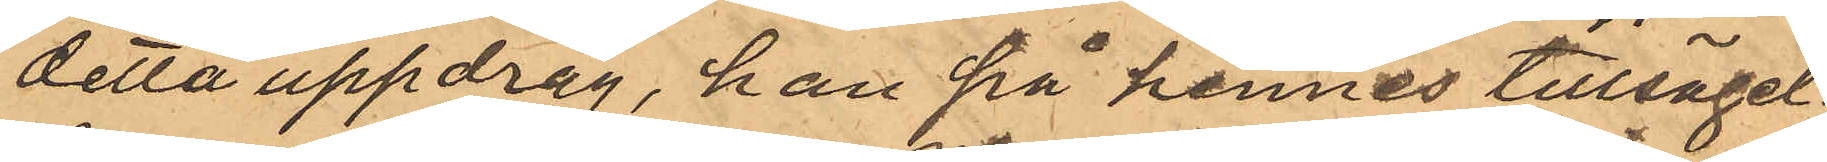detta uppdrag, han på hennes tillsägel¬
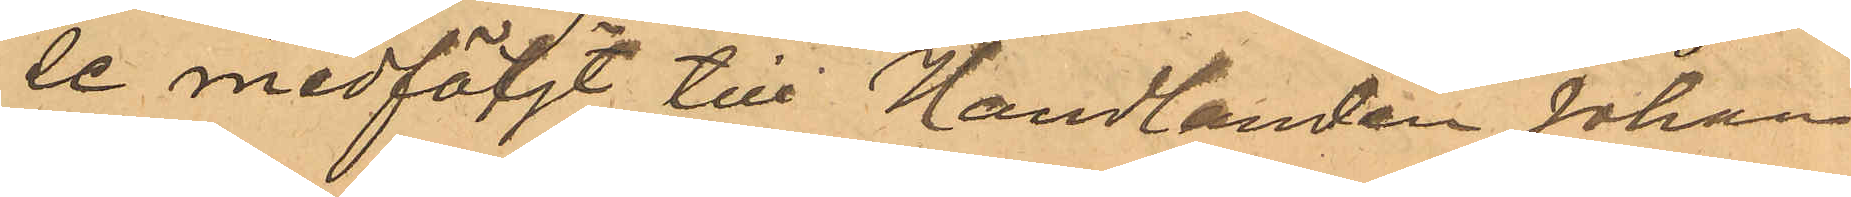se medföljt till Handlanden Johan
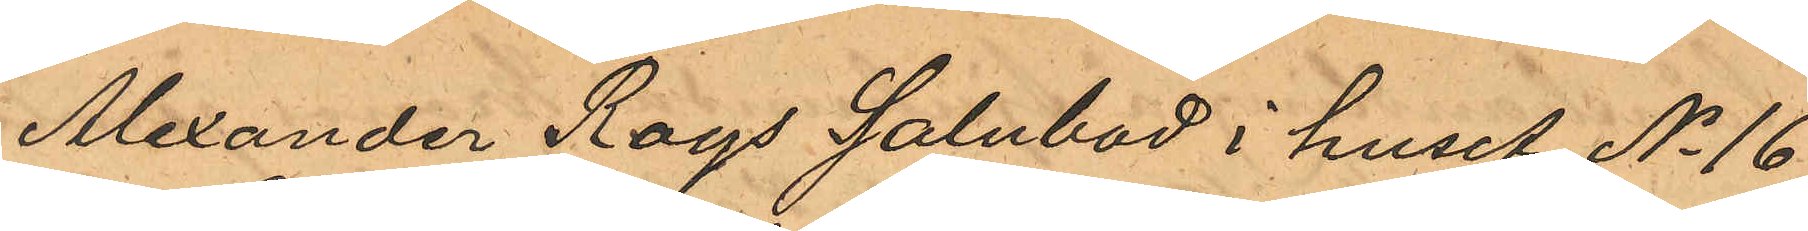Alexander Roys Salubod i huset No 16
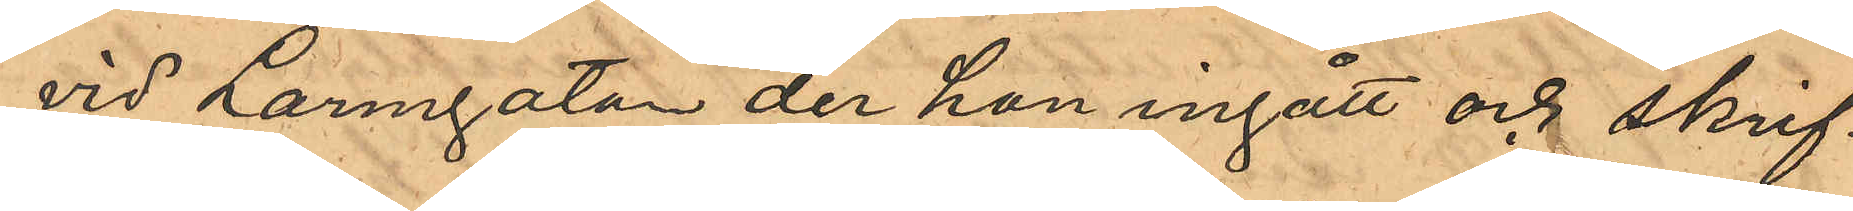vid Larmgatan der hon ingått och skrif¬
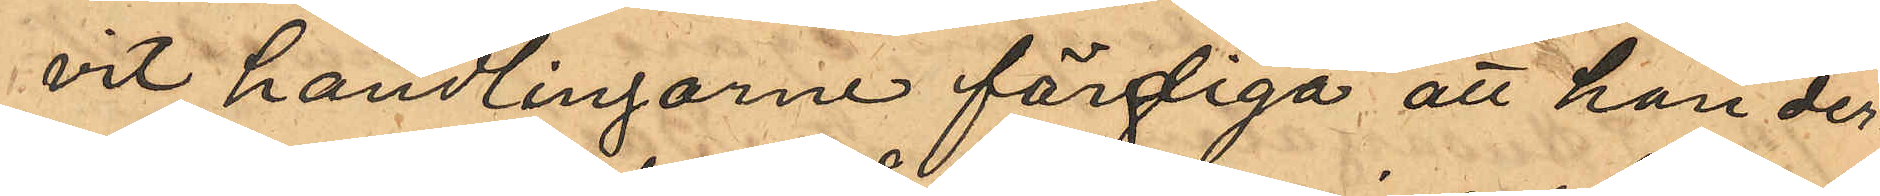vit handlingarne färdiga att han der¬
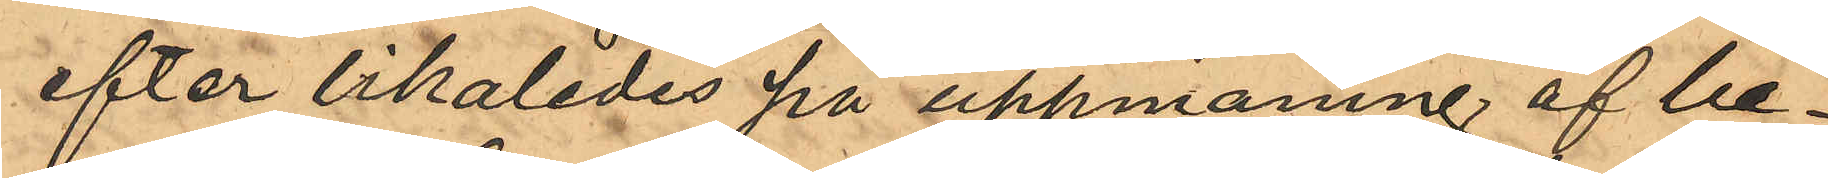efter likaledes på uppmaning af be¬
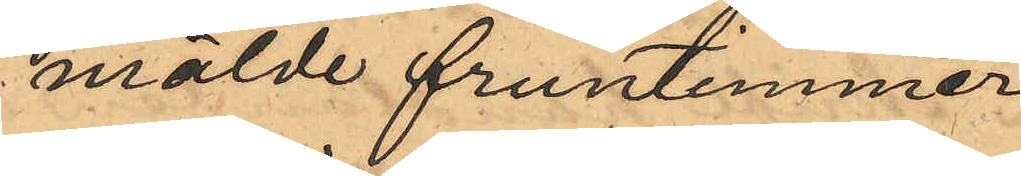mälde fruntimmer
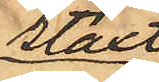staxt
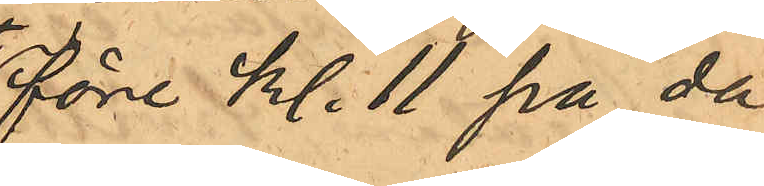före kl. 11 på da¬
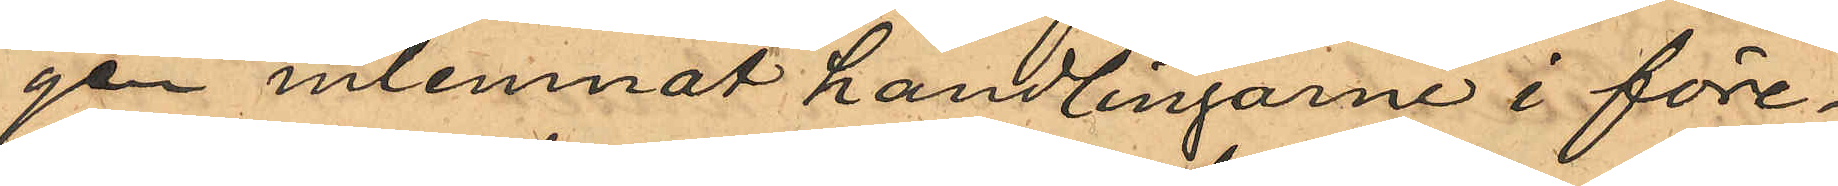gen inlemnat handlingarne i före¬
